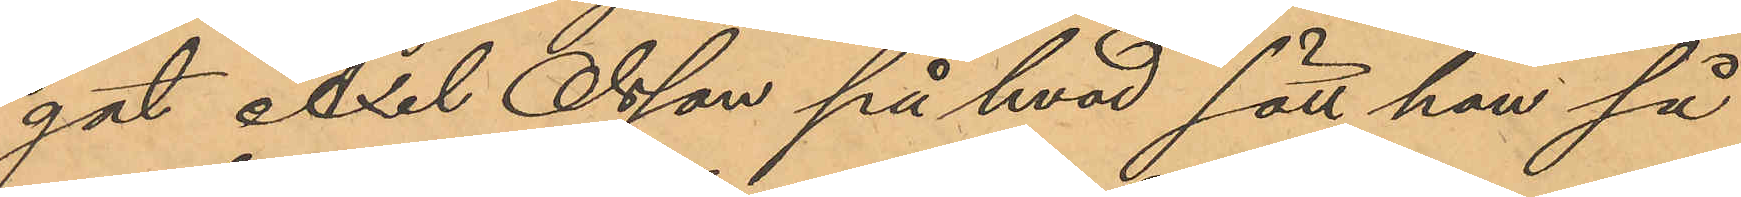gat Axel Olsson på hvad sätt han så
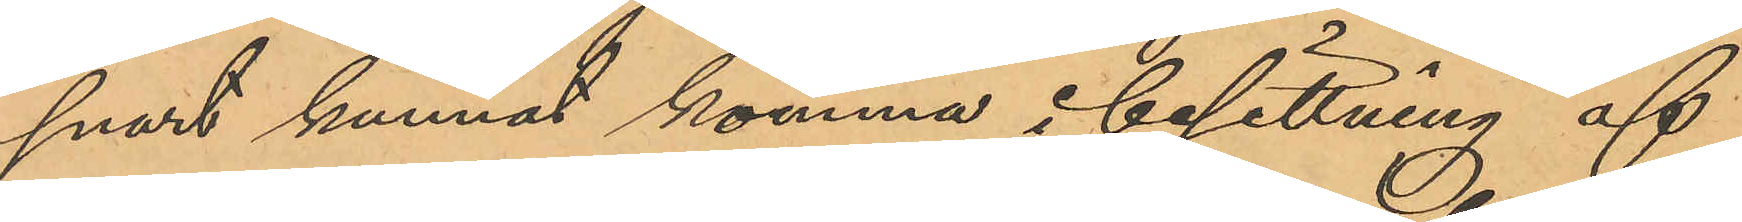snart kunnat komma i besittning af
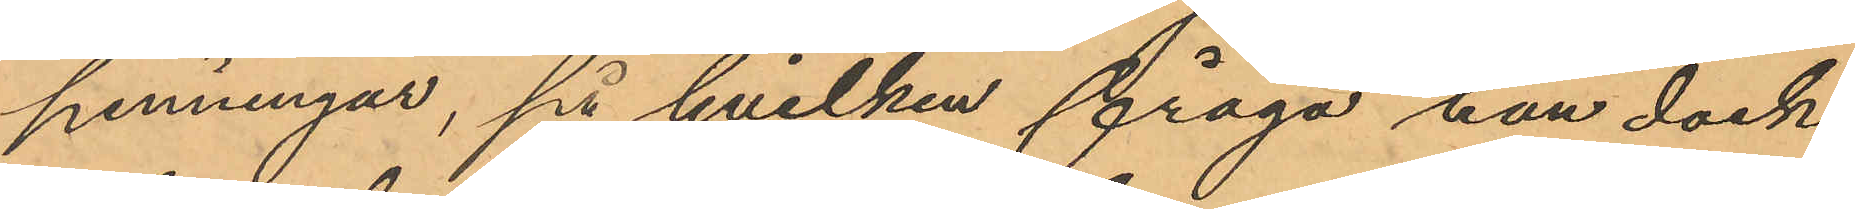penningar, på hvilken fråga han dock
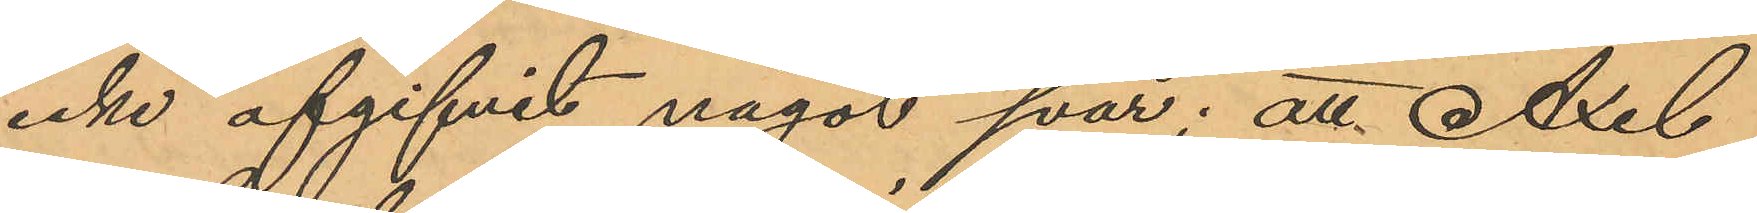icke afgifvit något svar; att Axel
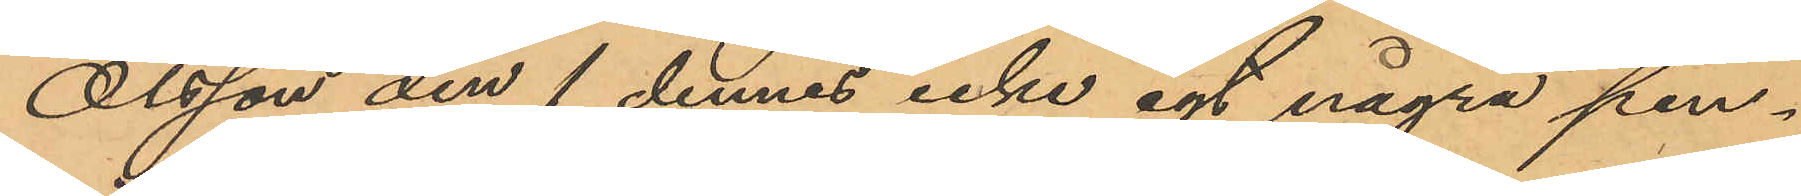Olsson den 1 dennes icke egt några pen¬
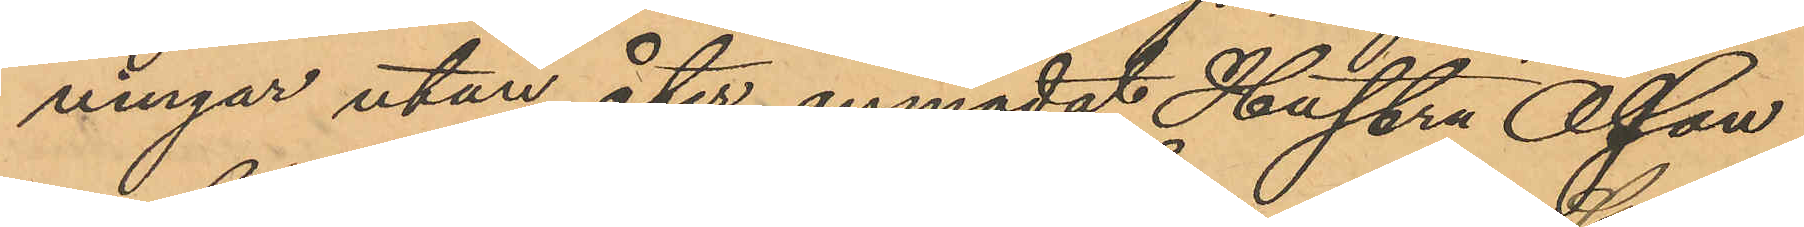ningar utan åter anmodat Hustru Olsson
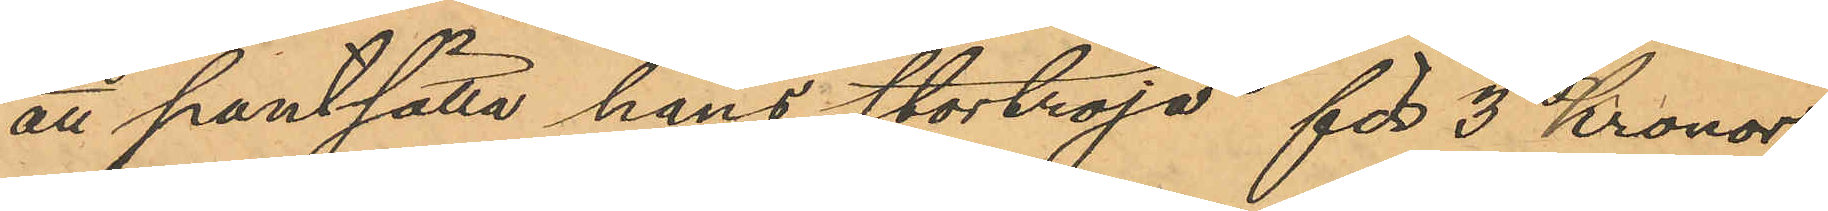att pantsätta hans stortröja för 3 kronor,
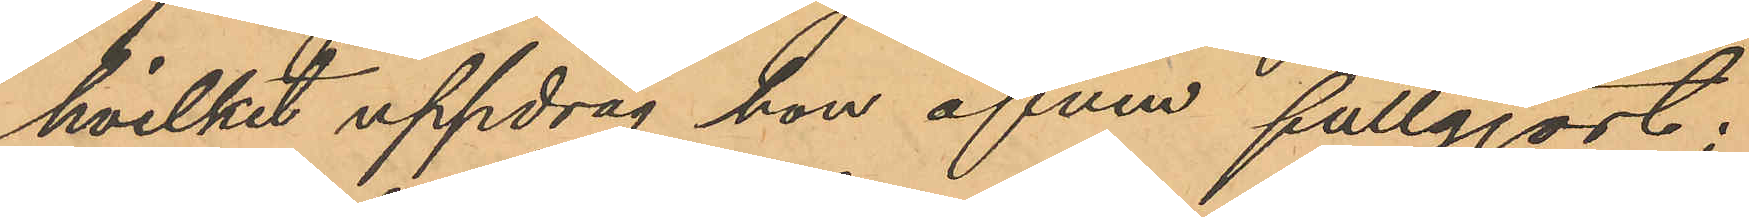hvilket uppdrag hon äfven fullgjort;
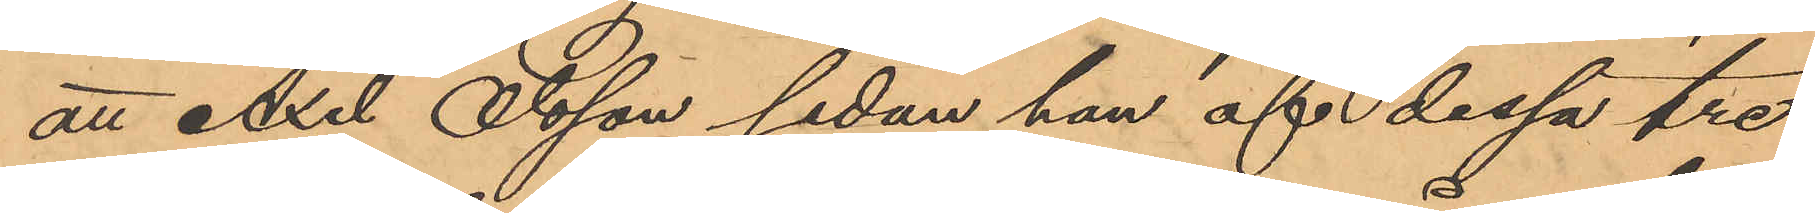att Axel Olsson sedan han af dessa tre
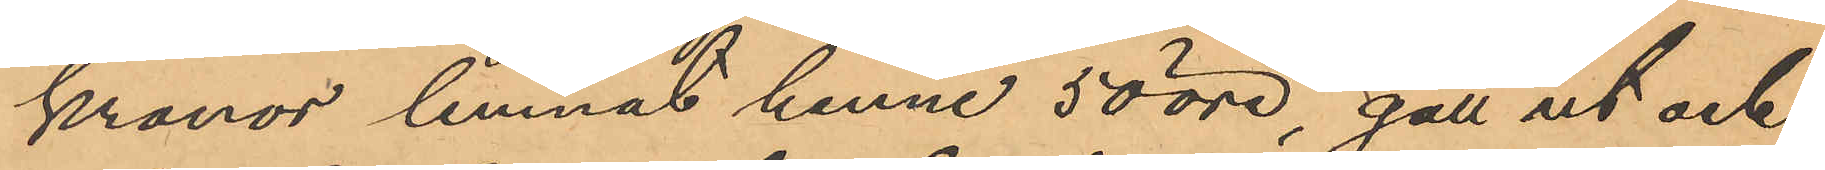kronor lemnat henne 50 öre, gått ut och
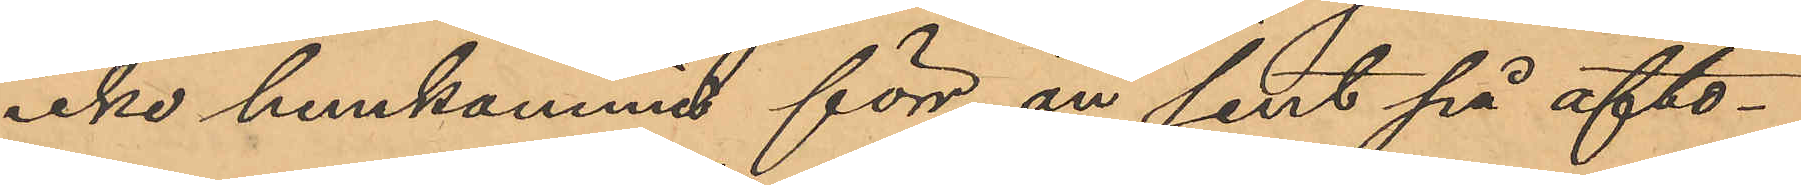icke hemkommit förr än sent på afto¬
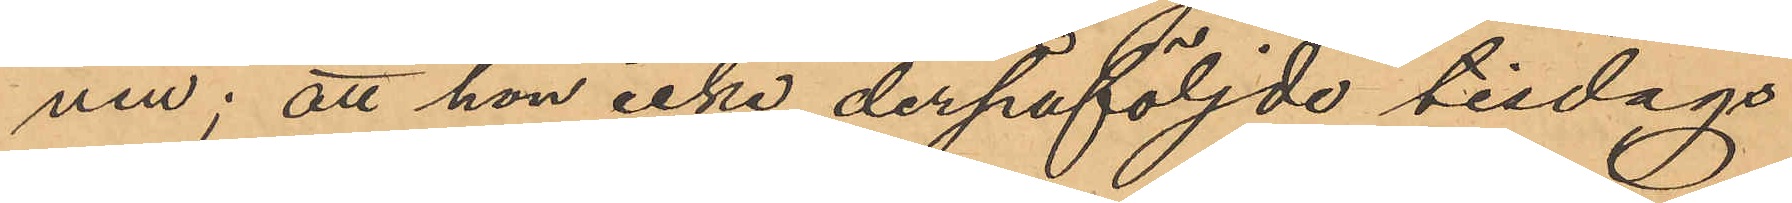nen; att hon icke derpåföljde tisdags
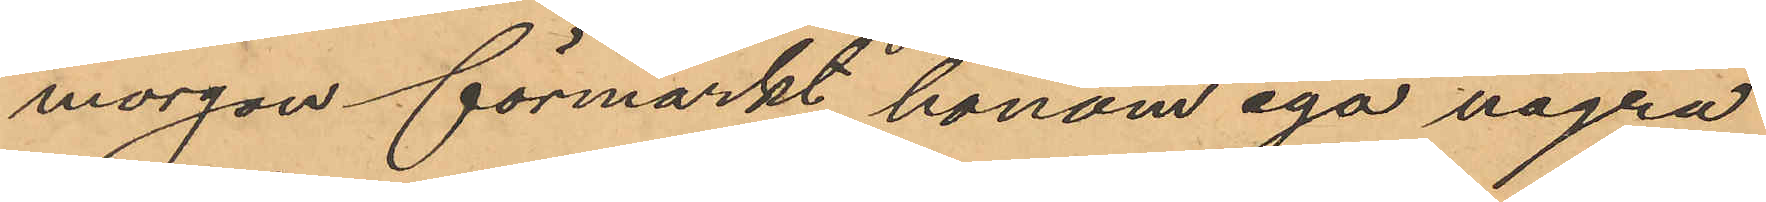morgon förmärkt honom ega några
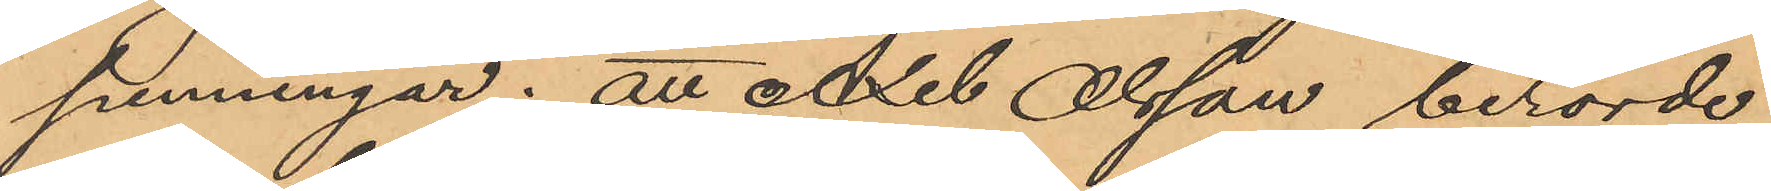penningar; att Axel Olsson berörde
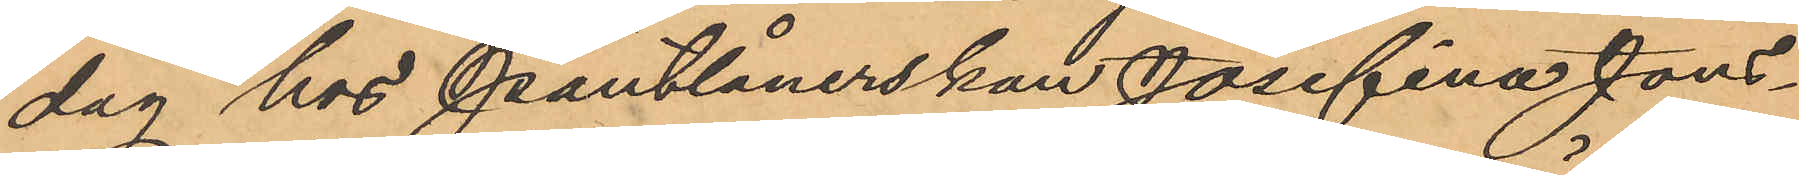dag hos Pantlånerskan Josefina Jons¬
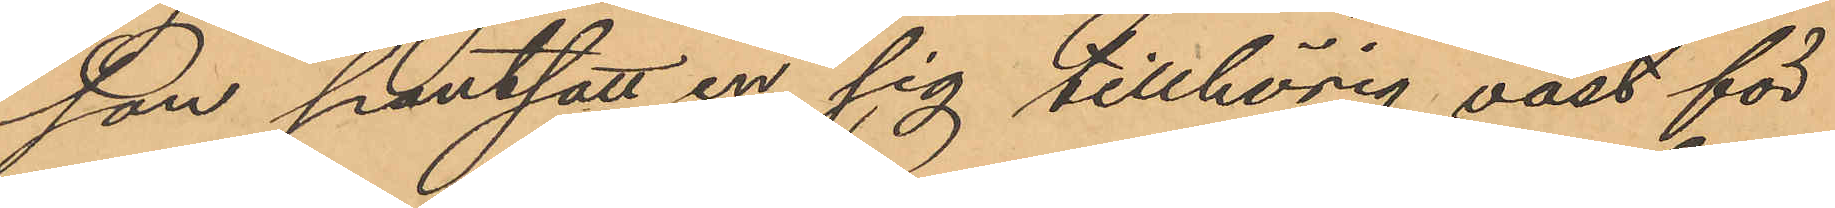son pantsatt en sig tillhörig väst för
